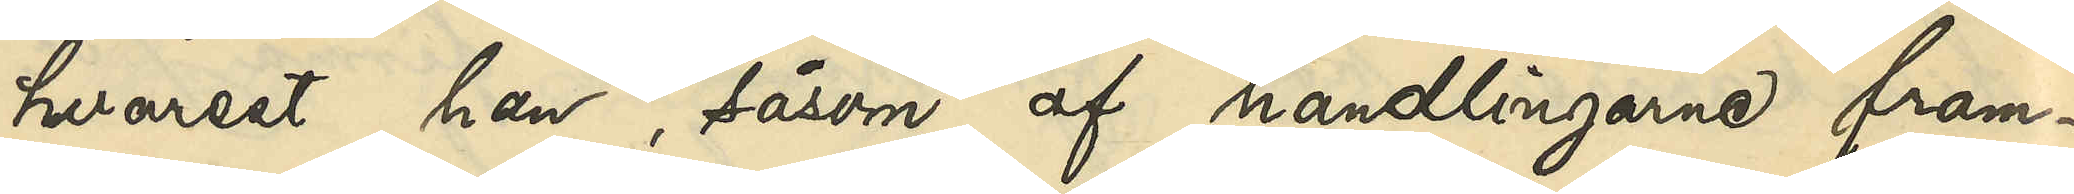hvarest han, såsom af handlingarne fram¬
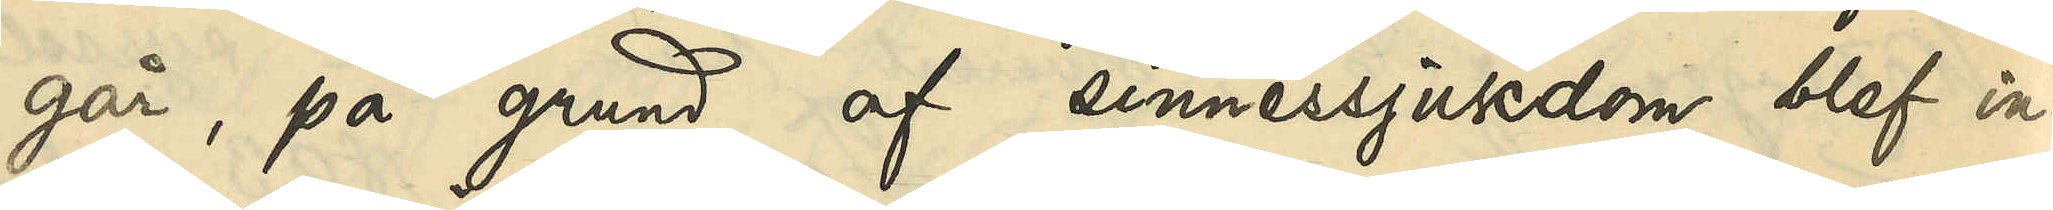går, på grund af sinnessjukdom blef in¬
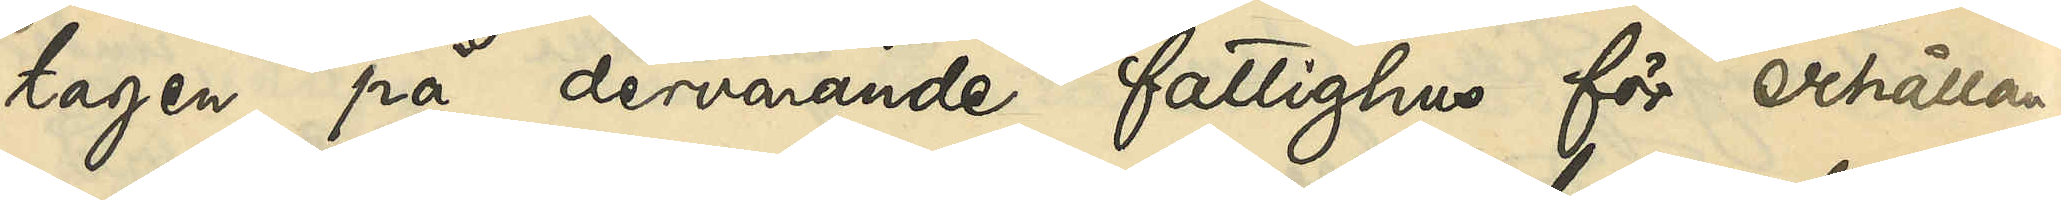tagen på dervarande fattighus för erhållan¬
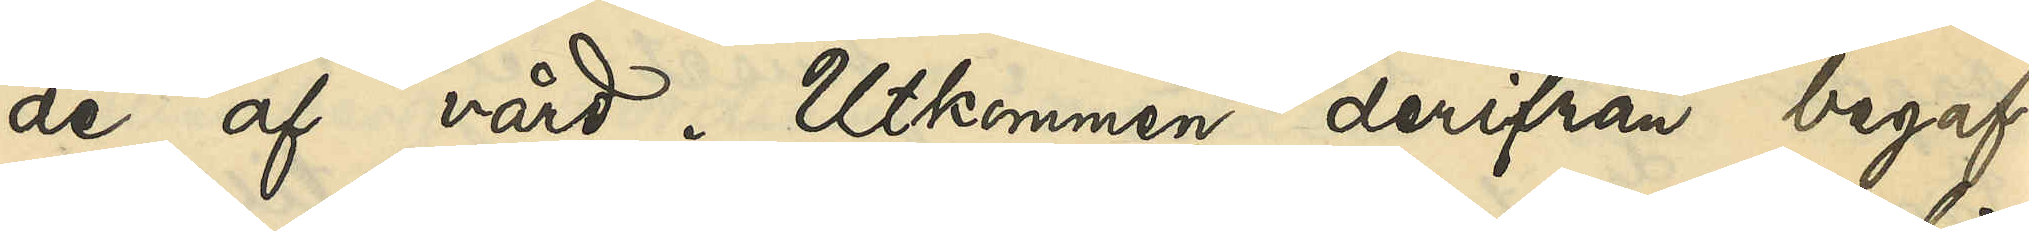de af vård. Utkommen derifrån begaf
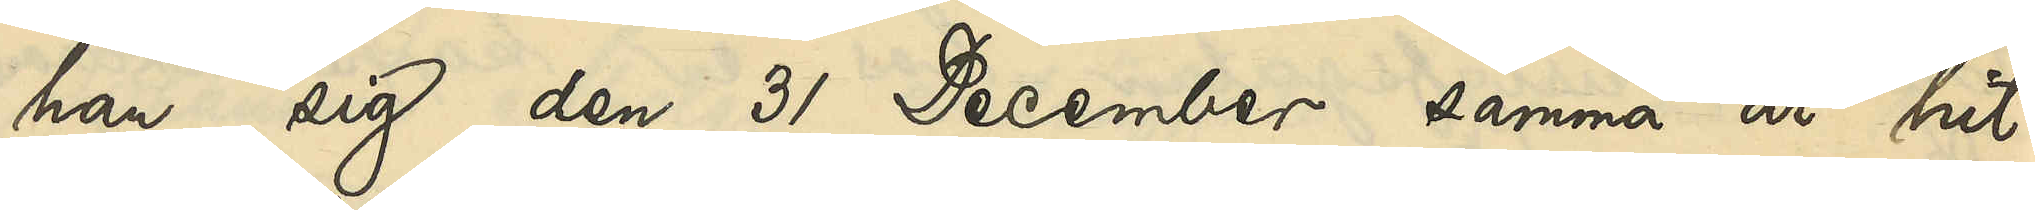han sig den 31 December samma år hit
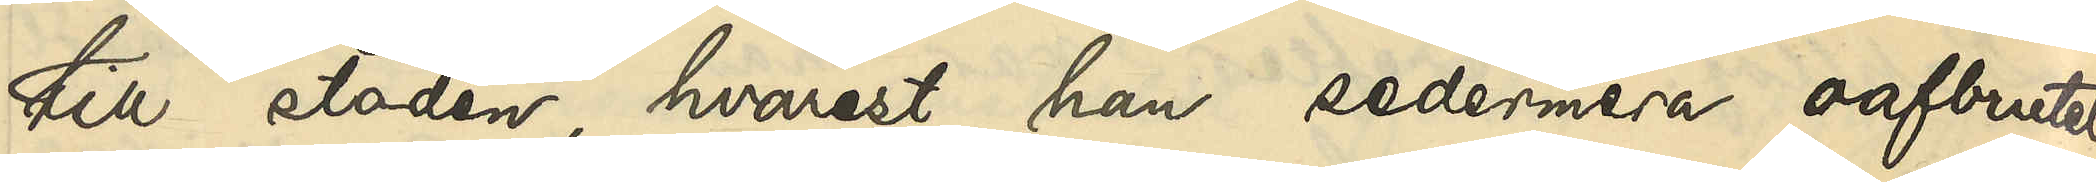till staden, hvarest han sedermera oafbrutet
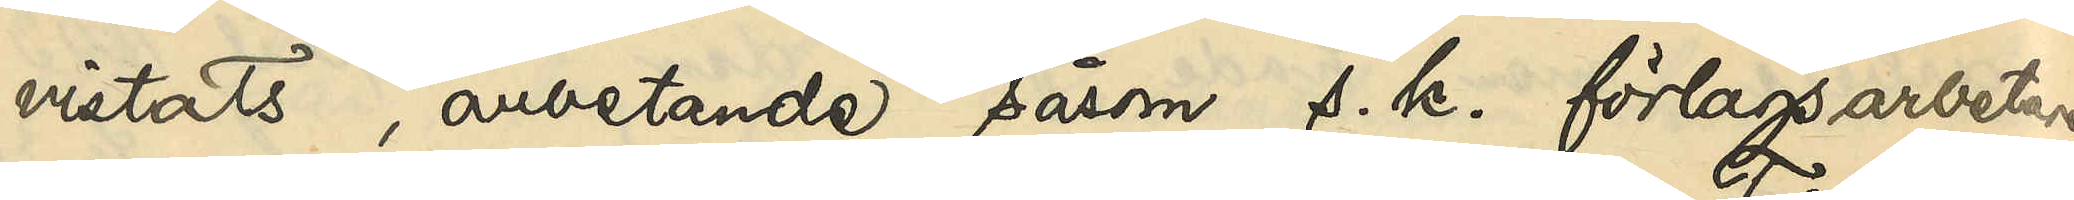vistats, arbetande såsom s. k. förlagsarbetare
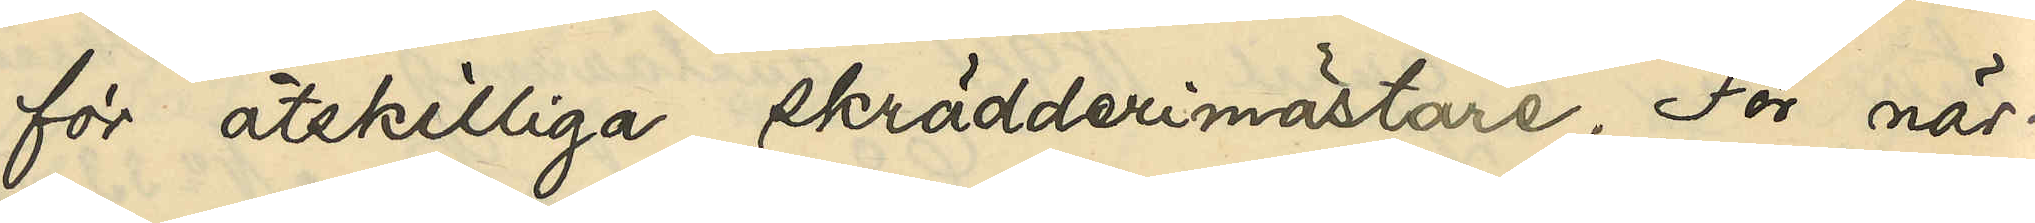för åtskilliga skrädderimästare. För när¬
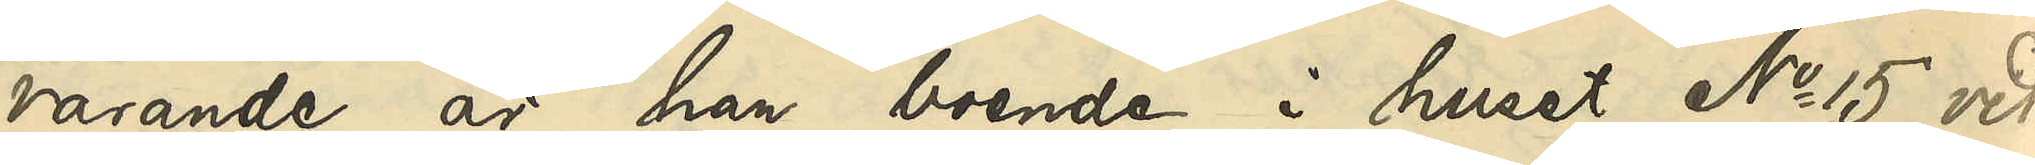varande är han boende i huset No 15 vid
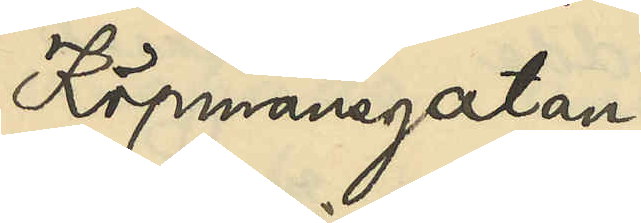Köpmansgatan.
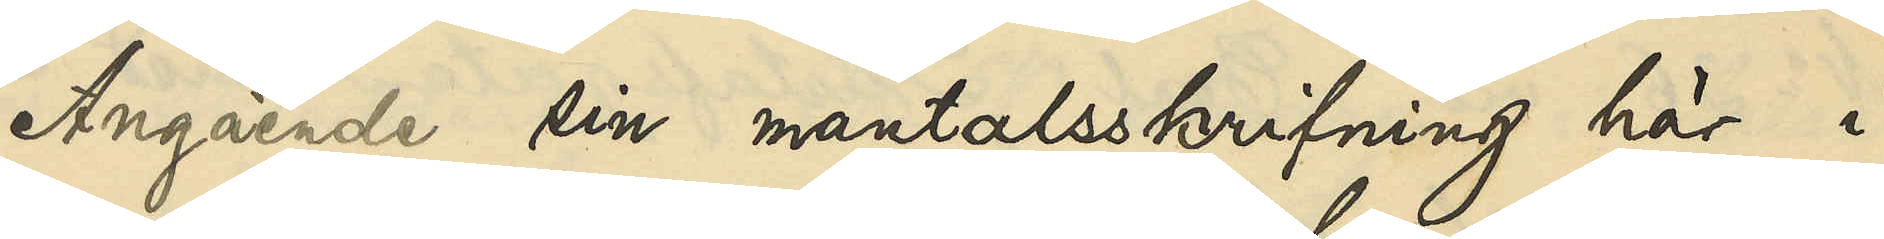Angående sin mantalsskrifning här i
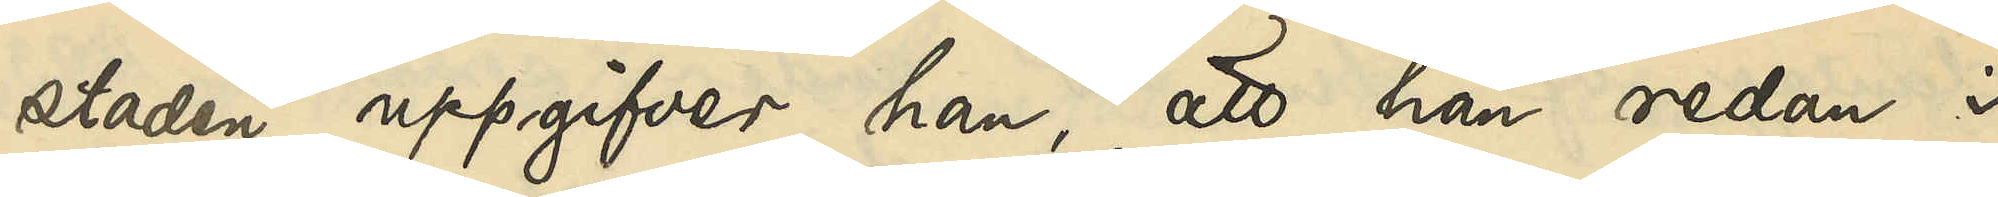staden uppgifver han, att han redan i
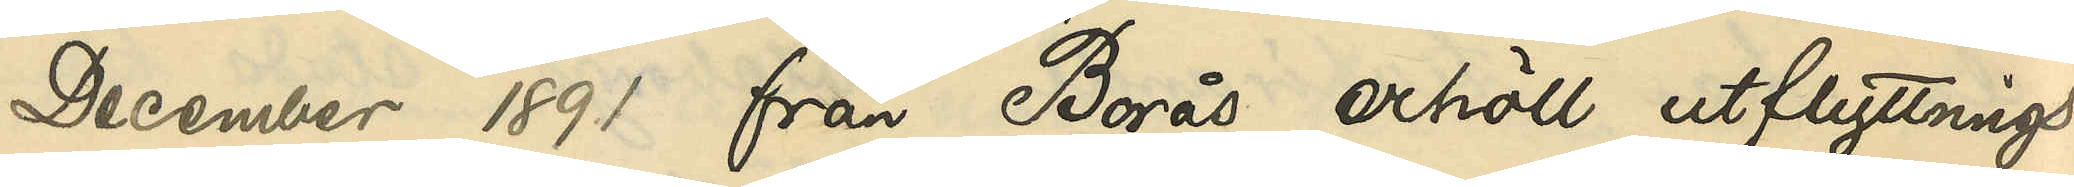December 1891 från Borås erhöll utflyttnings¬
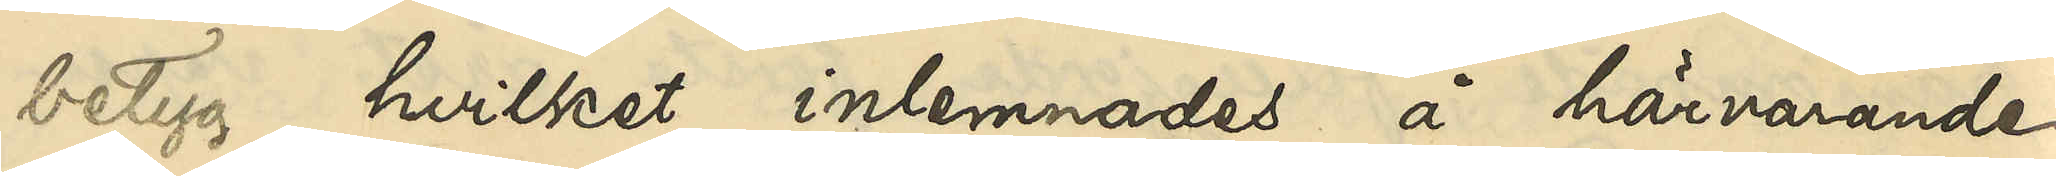betyg, hvilket inlemnades å härvarande
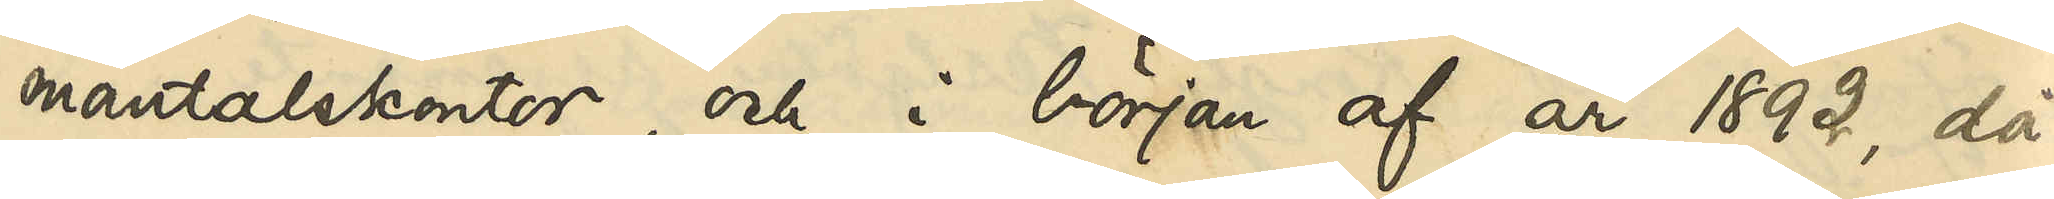mantalskontor, och i början af år 1892, då
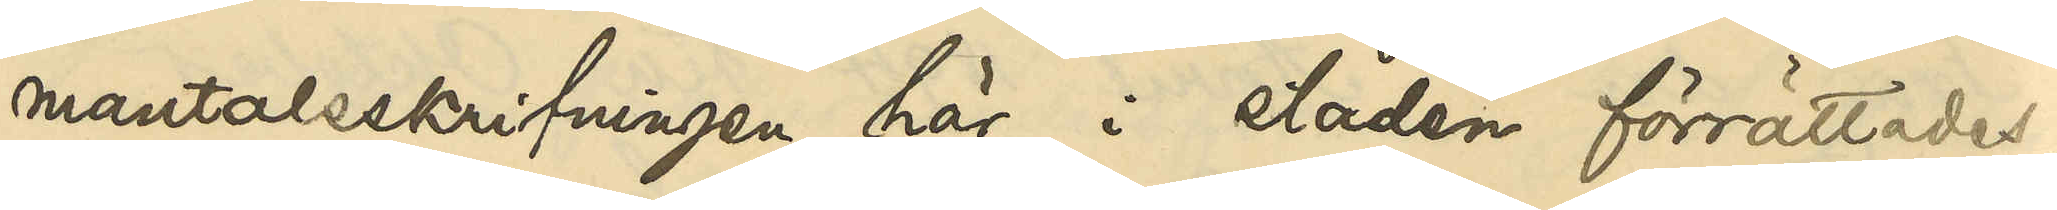mantalsskrifvningen här i staden förrättades,
